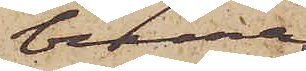bruna
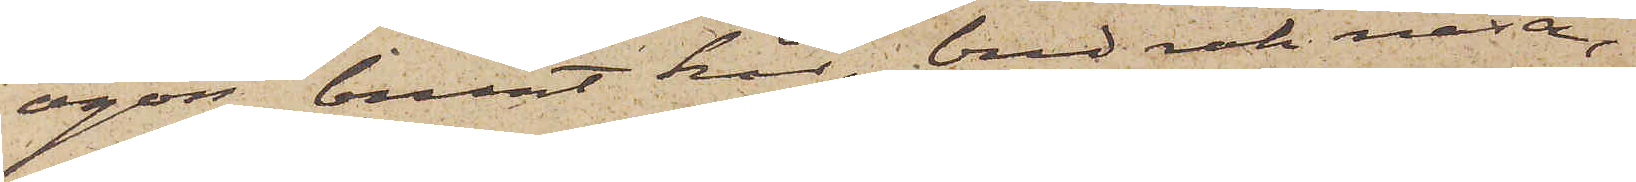ögon, blont hår, bred rak näsa,
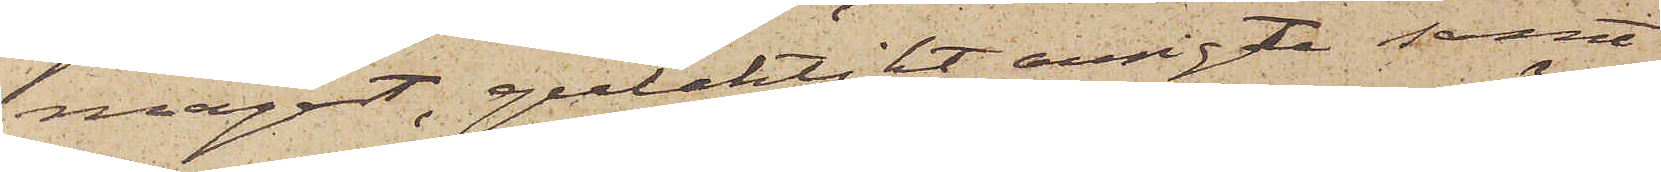något, gulaktikt ansigte samt
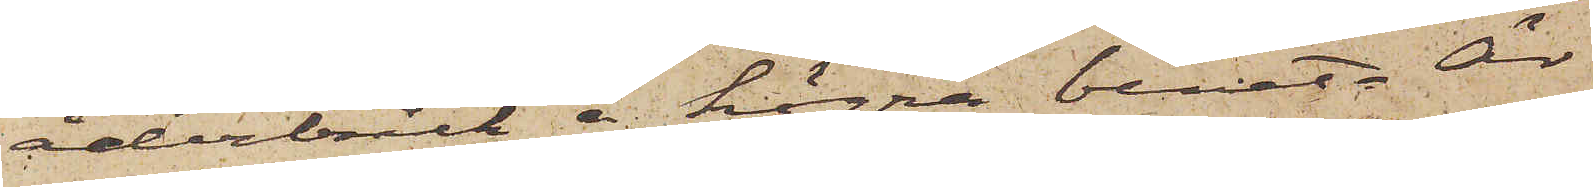åderbråck i högra benet. Är
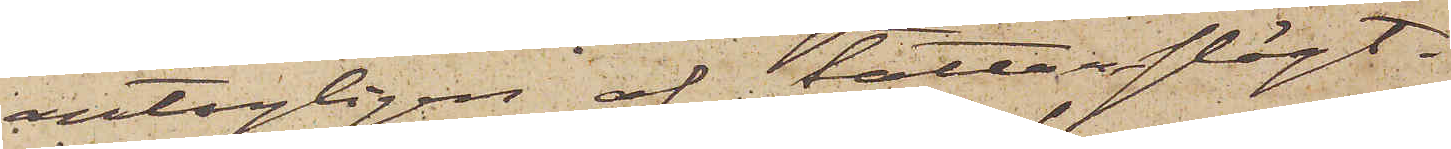antagligen af tattarslägt.
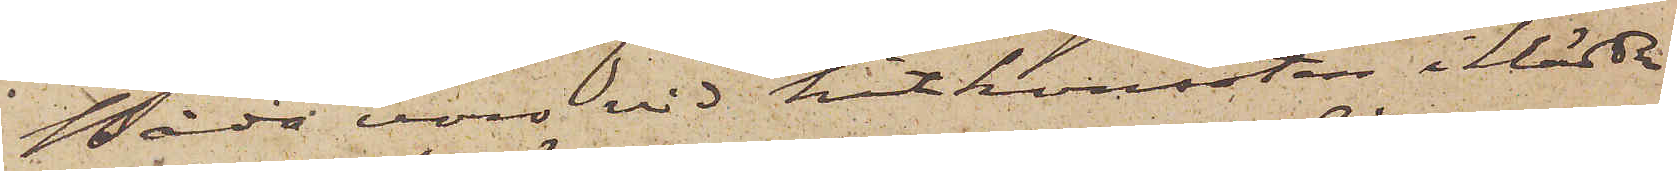Båda voro vid hitkomsten iklädda
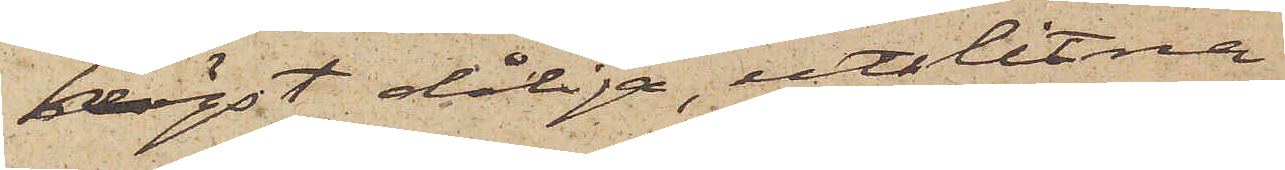högst dåliga, utslitna
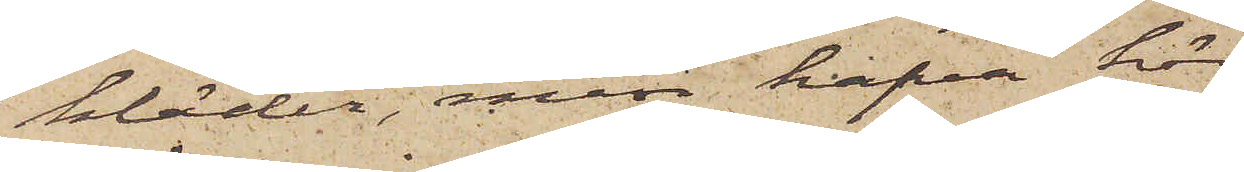kläder, men hafva här
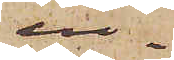in¬
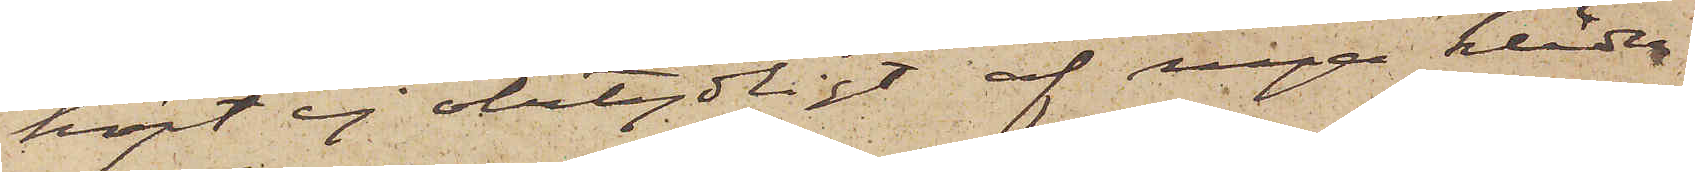köpt ej obetydligt af nya kläder
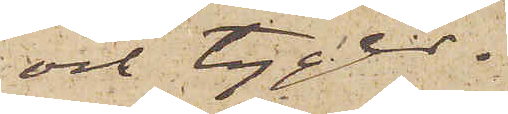och tyger.
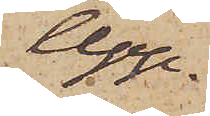Upp¬
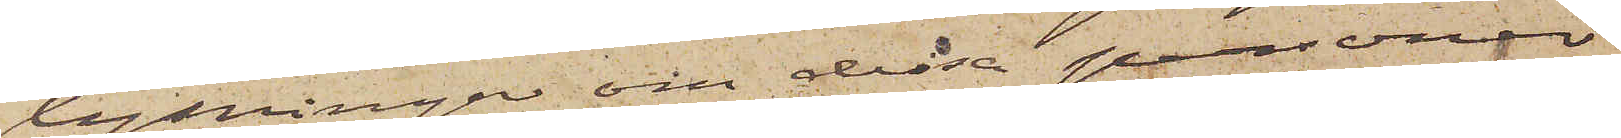lysningar om dessa personer
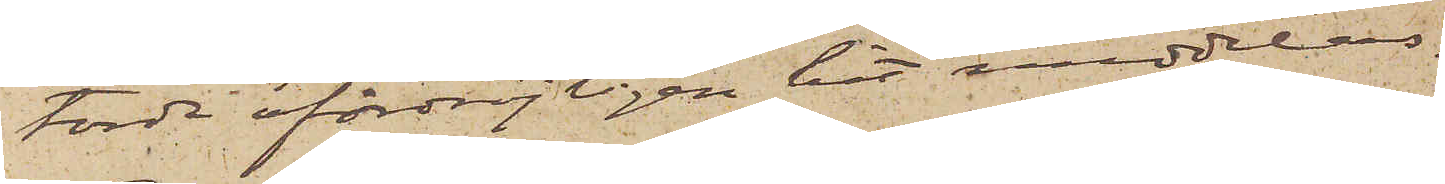torde ofördröjligen hit meddelas.
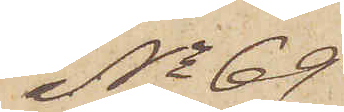No 69
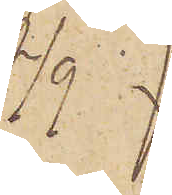2/9
